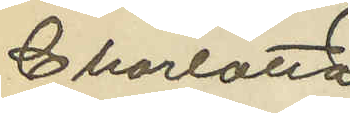Charlotta
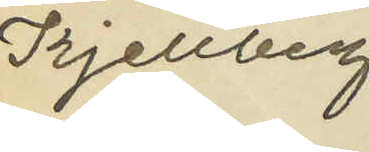Kjellberg
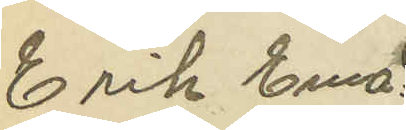Erik Ema¬
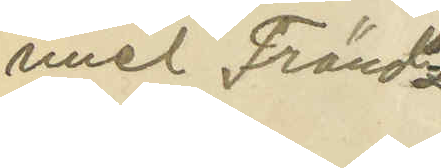nuel Fränd¬
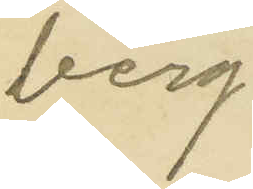berg
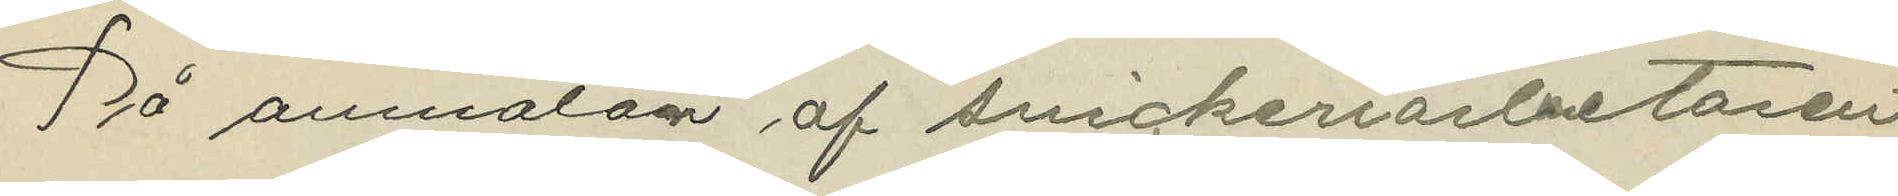På anmälan af snickeriarbetaren
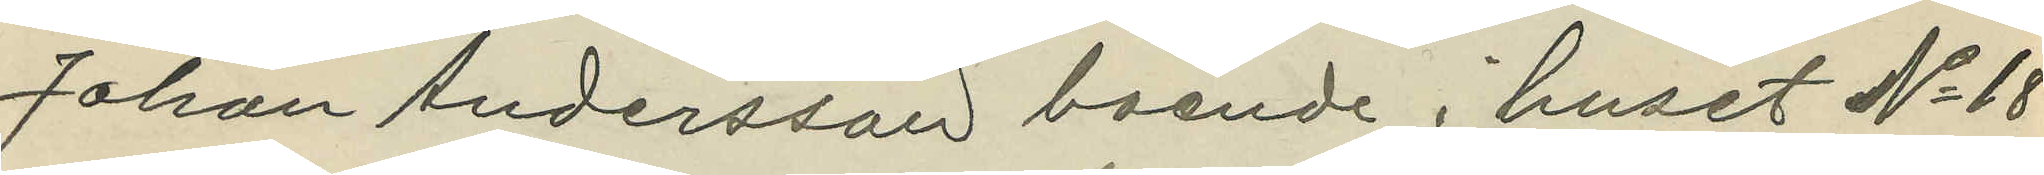Johan Andersson boende i huset No 18
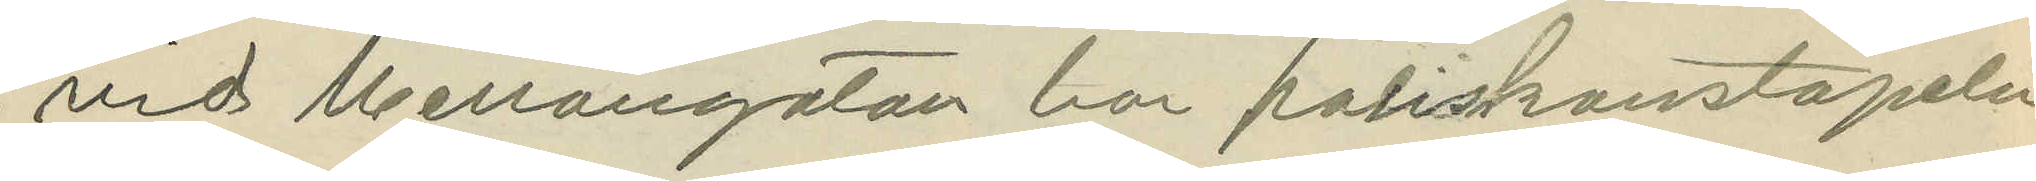vid Mellangatan har poliskonstapeln
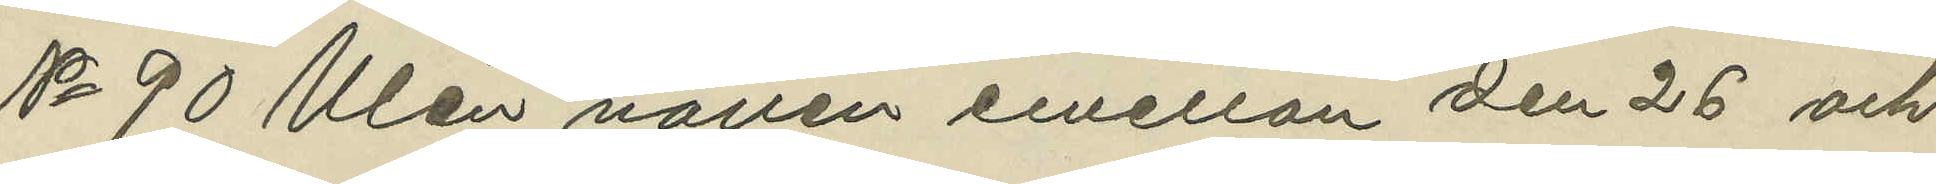No 90 Ulén natten emellan den 26 och
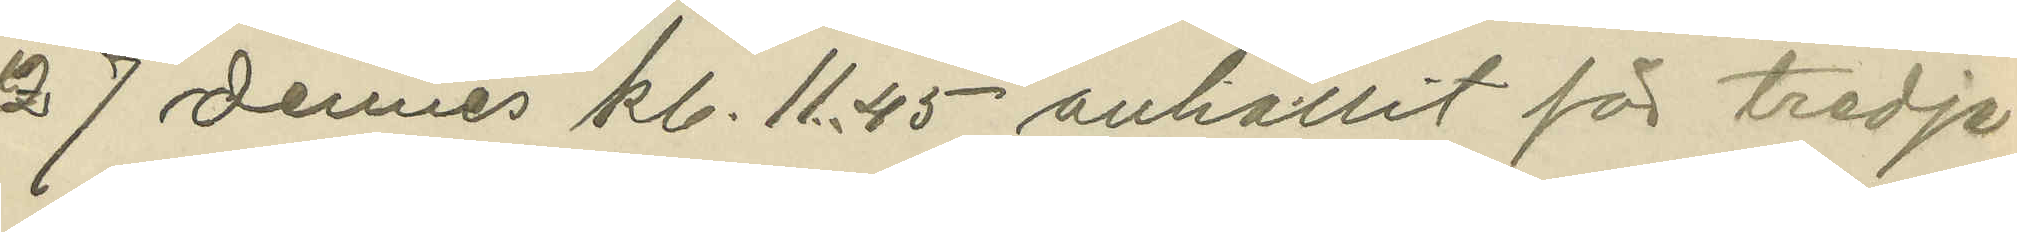27 dennes kl. 11.45 anhållit för tredje
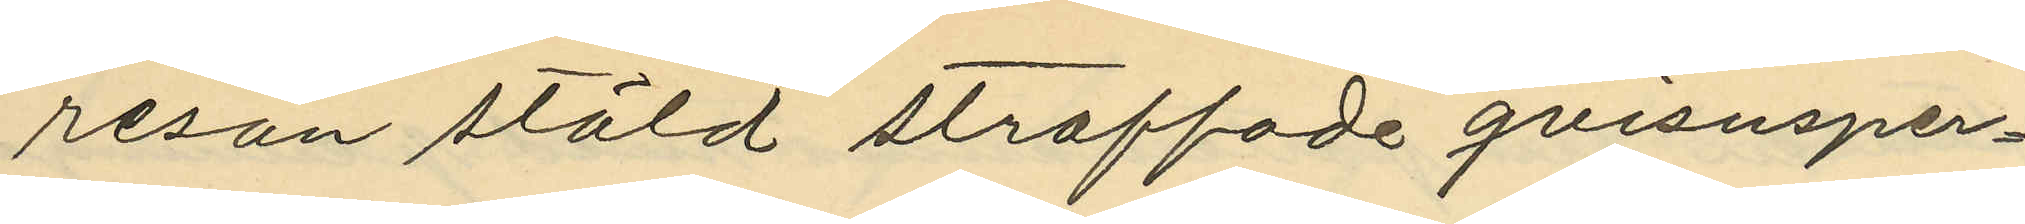resan stöld straffade qvisnsper¬
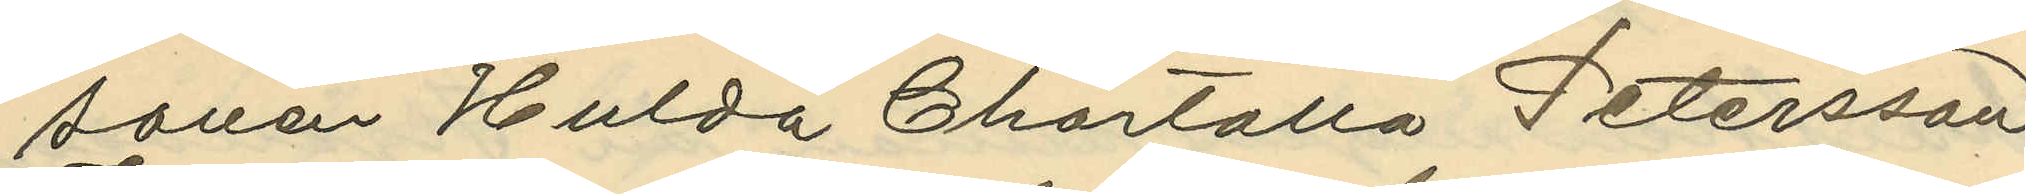sonen Hulda Chartolla Petersson
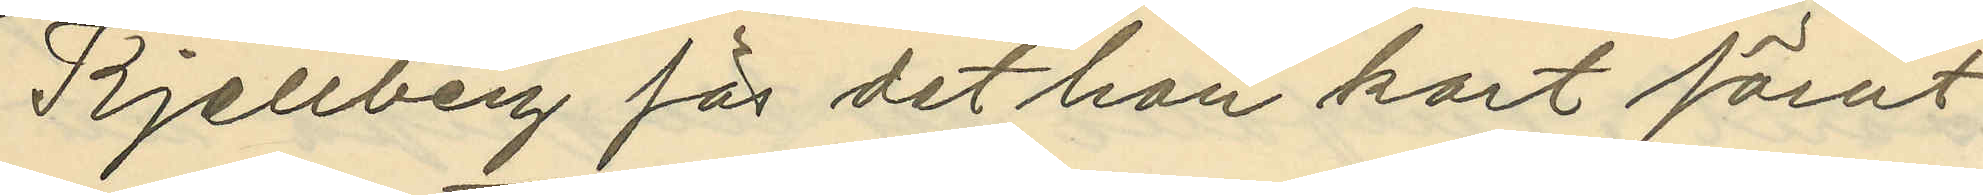Kjellberg för det hon kort förut
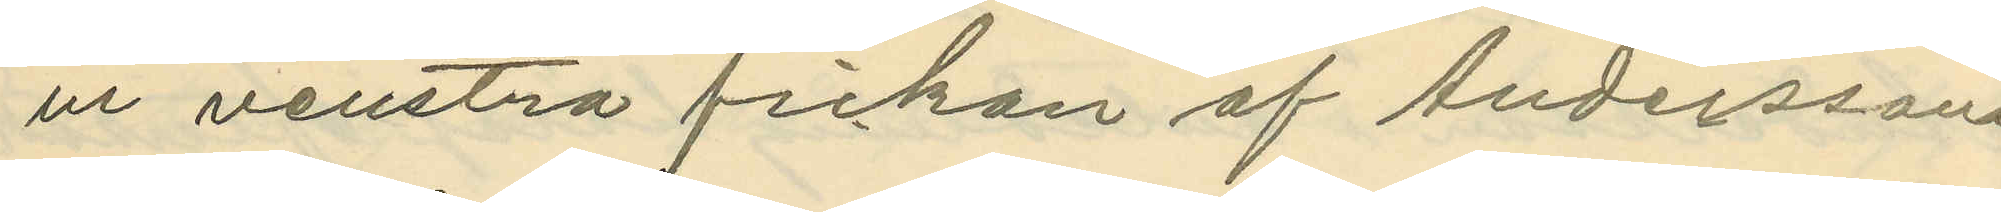ur venstra fickan af Anderssons
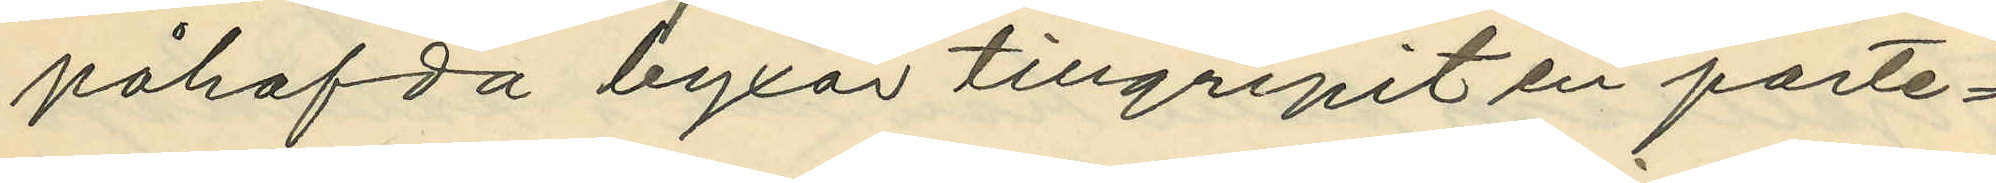påhafda byxor tillgripit en porte¬
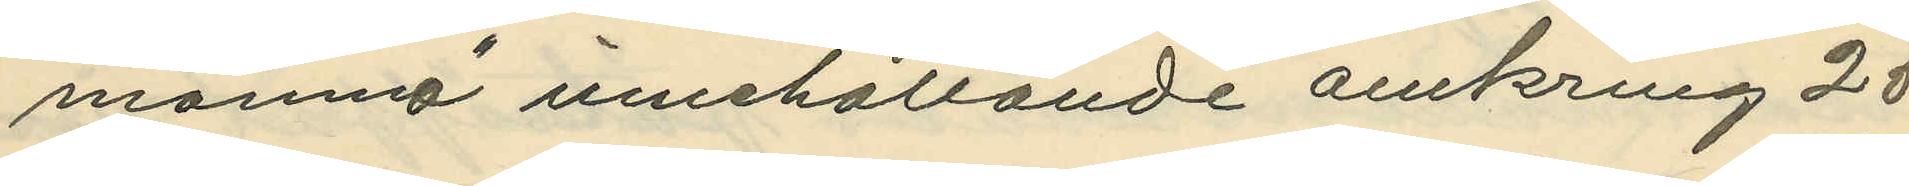momnä innehållande omkring 25
